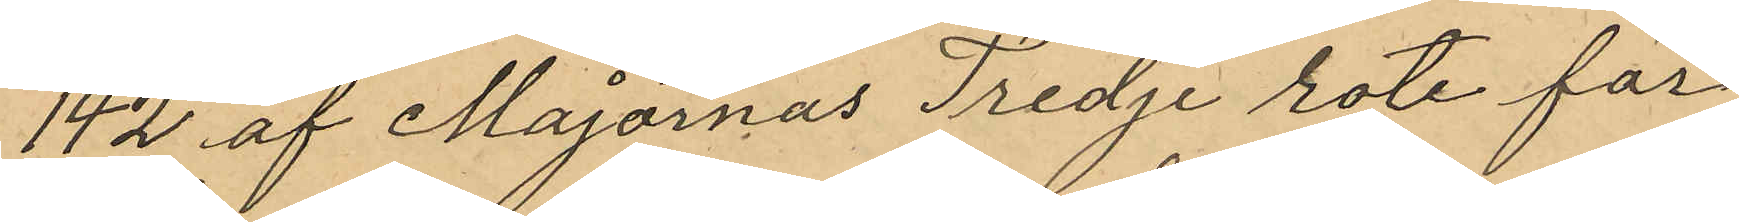142 af Majornas Tredje rote för
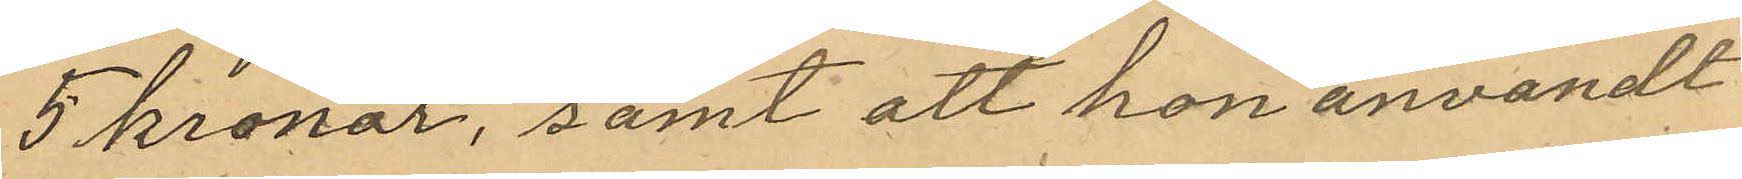5 kronor, samt att hon användt
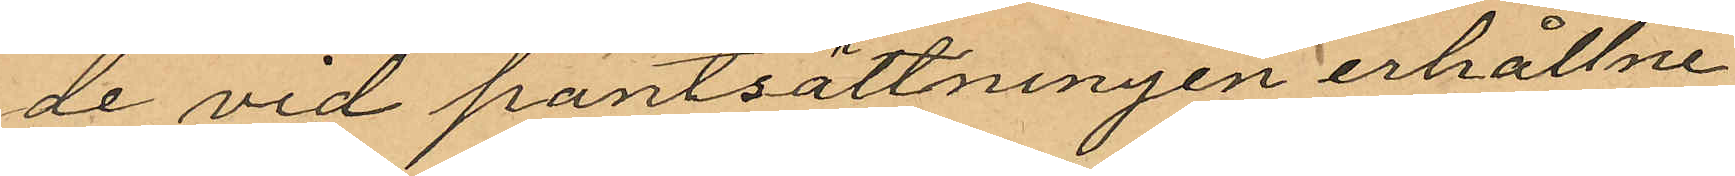de vid pantsättningen erhållne
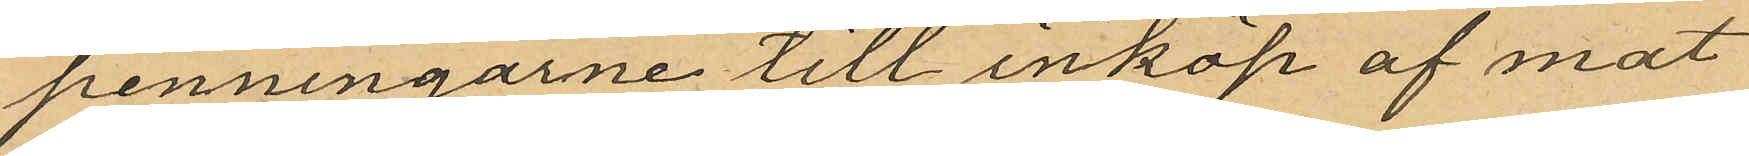penningarne till inköp af mat
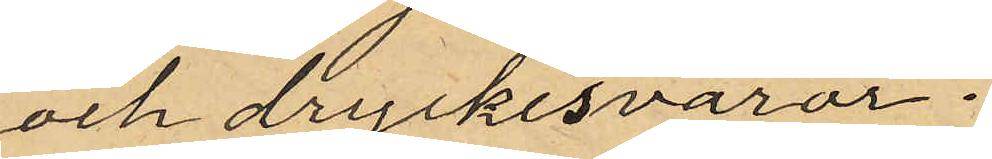och dryckesvaror.
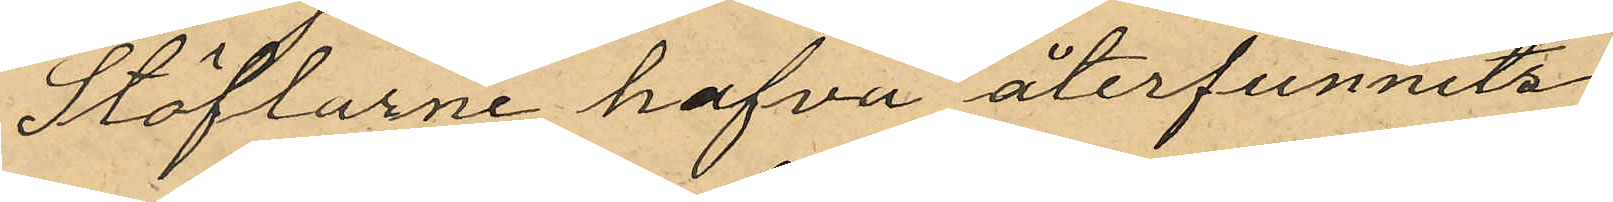Stöflarne hafva återfunnits
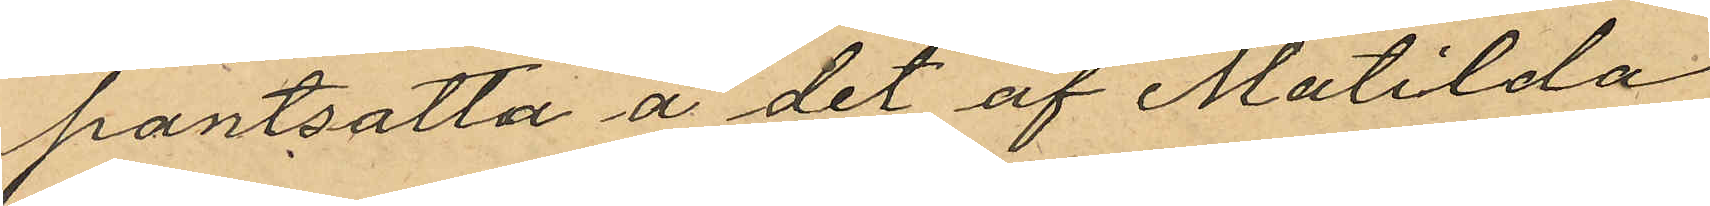pantsatta å det af Matilda
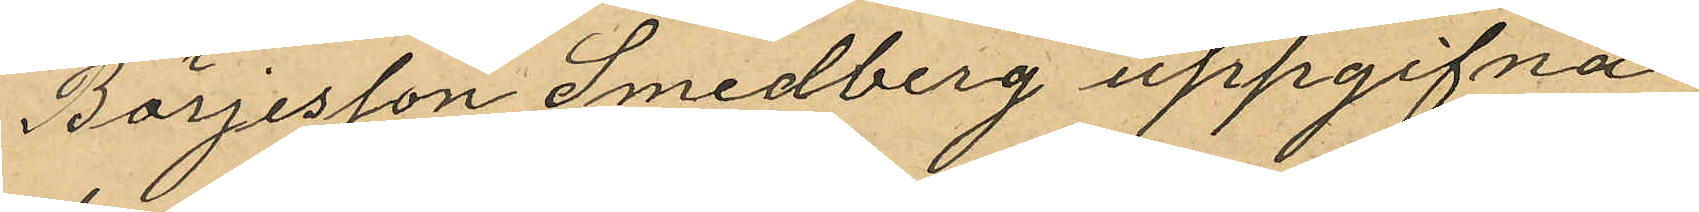Börjesson Smedberg uppgifna
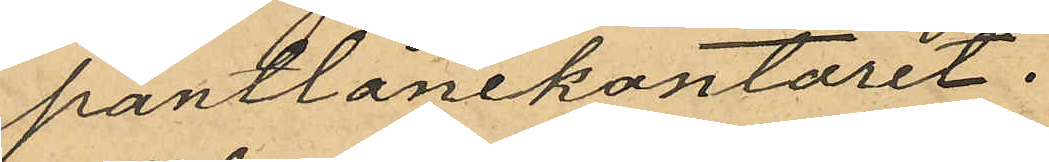pantlånekontoret.
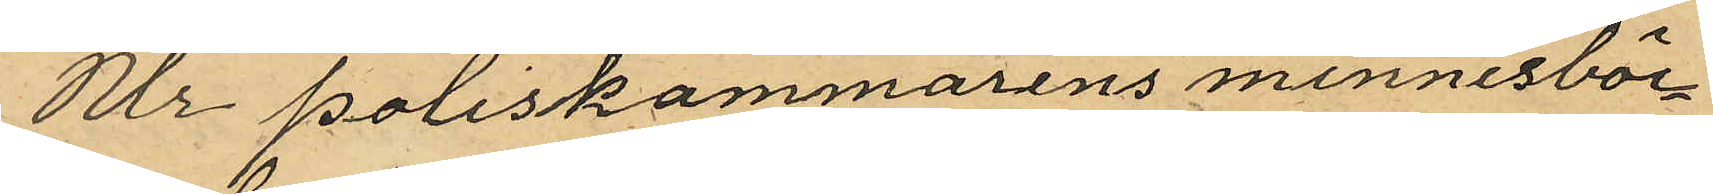Ur poliskammarens minnesböc¬
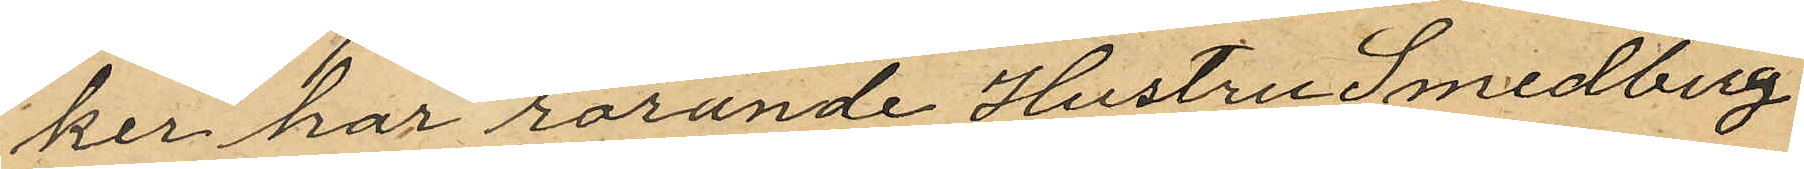ker har rörande Hustru Smedberg
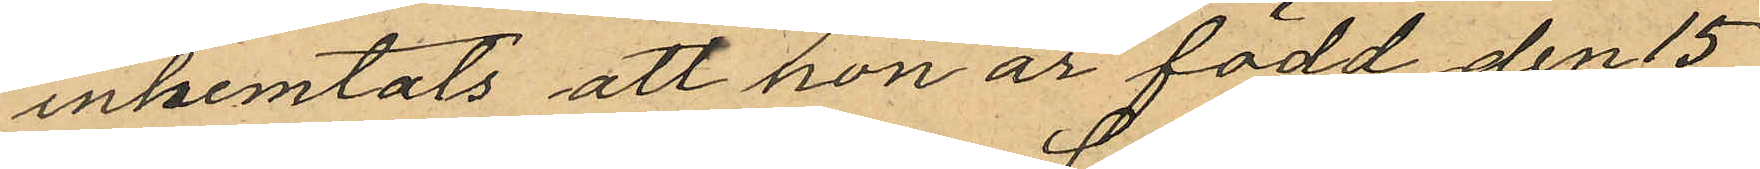inhemtats att hon är född den 15
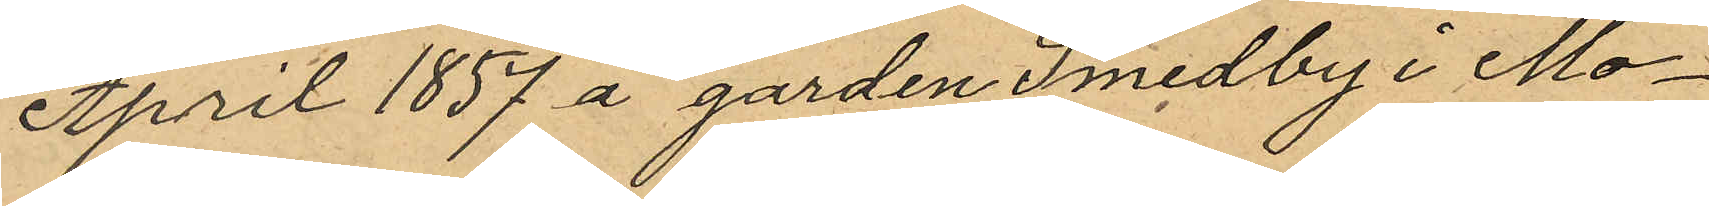April 1857 å gården Smedby i Mo¬
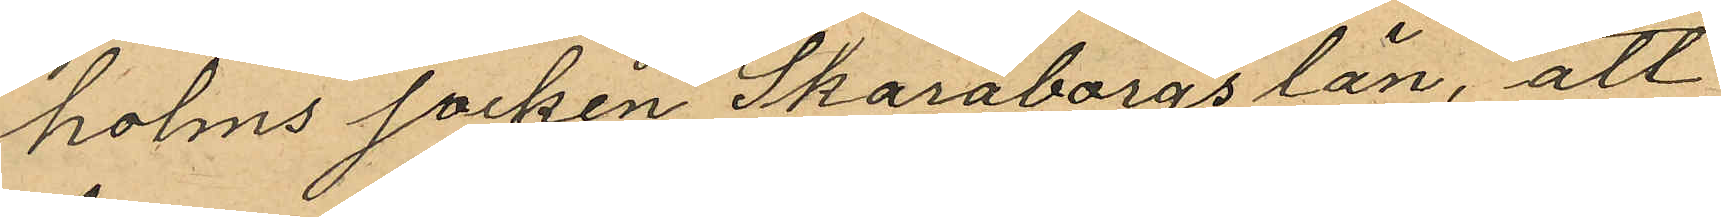holms socken Skaraborgs län, att
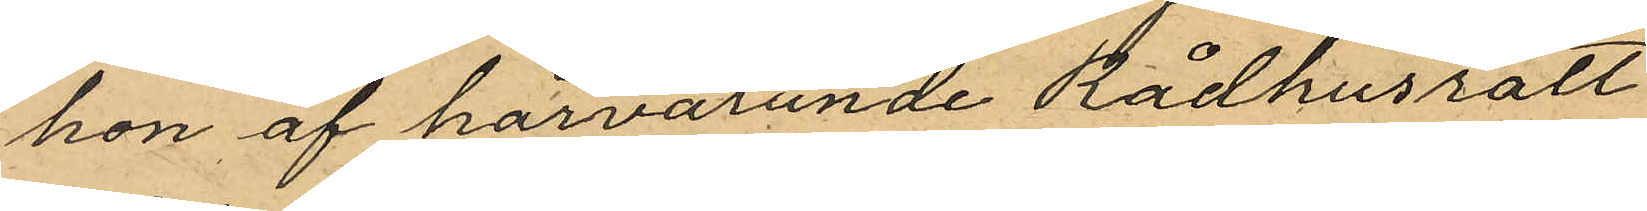hon af härvarande Rådhusrätt
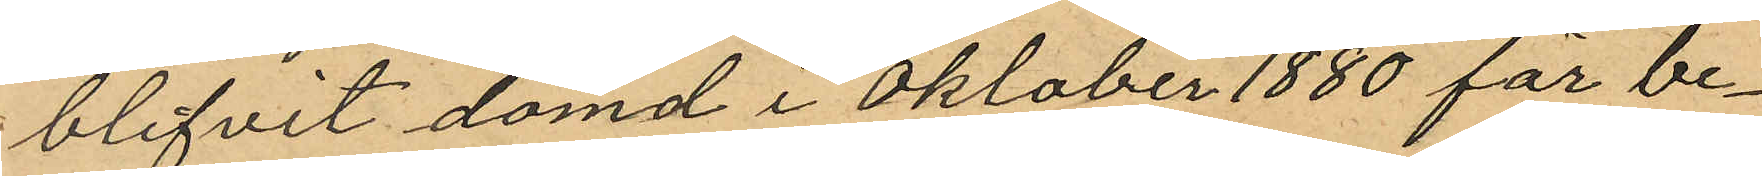blifvit dömd i Oktober 1880 för be¬
